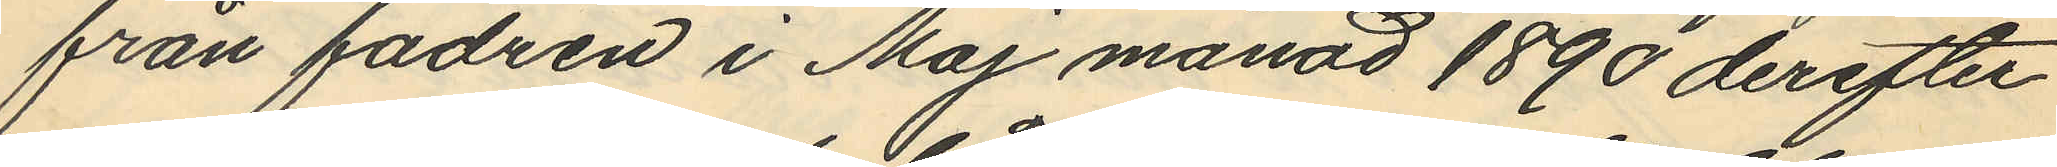från fadren i Maj månad 1890 derefter
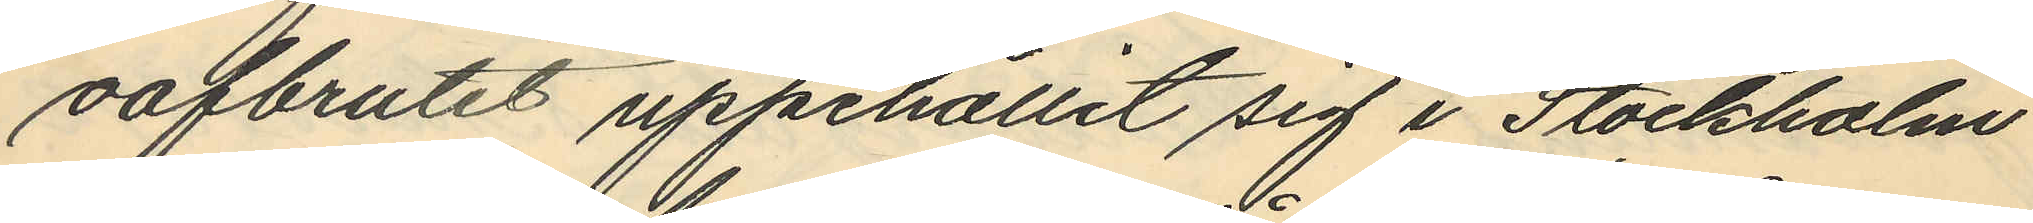oafbrutit uppehållit sig i Stockholm
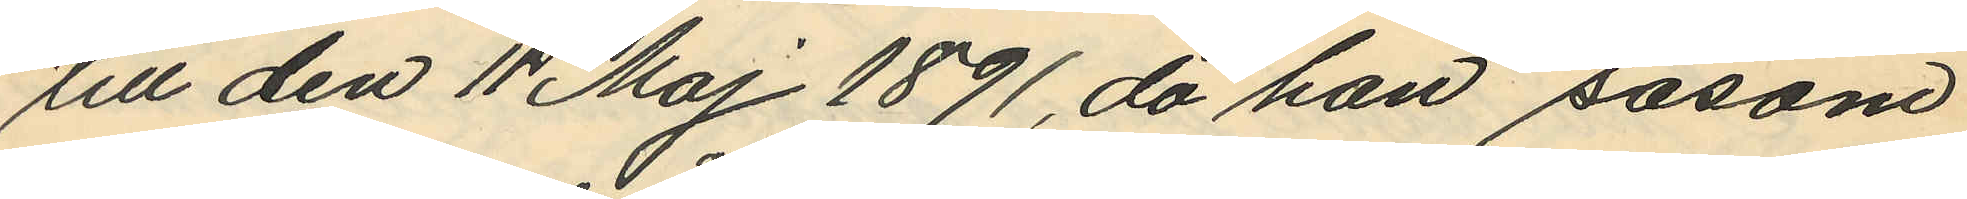till den 11 Maj 1891, då han såsom
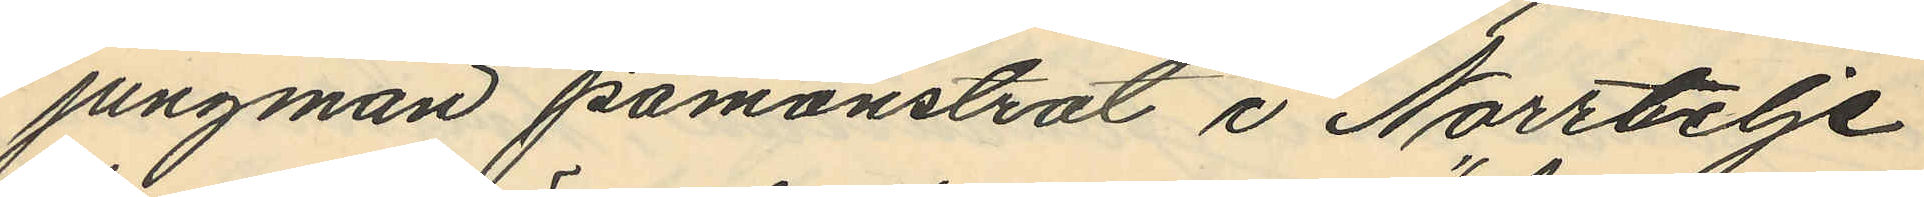jungman påmönstrat i Norrtelje
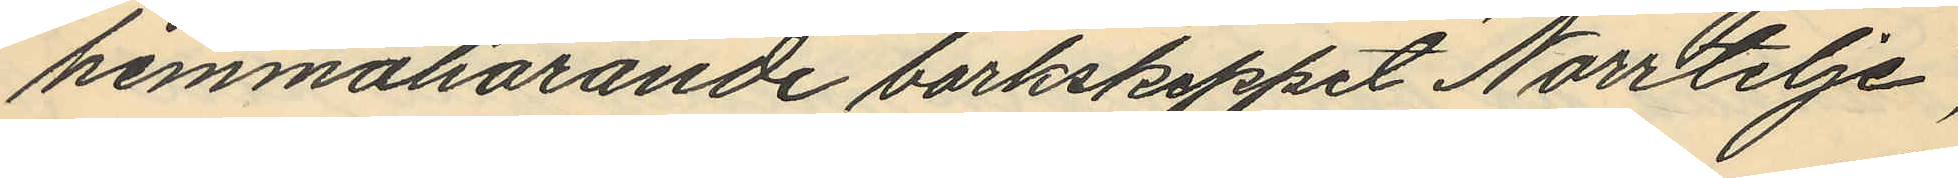hemmahörande barkskeppet "Norrtelje",
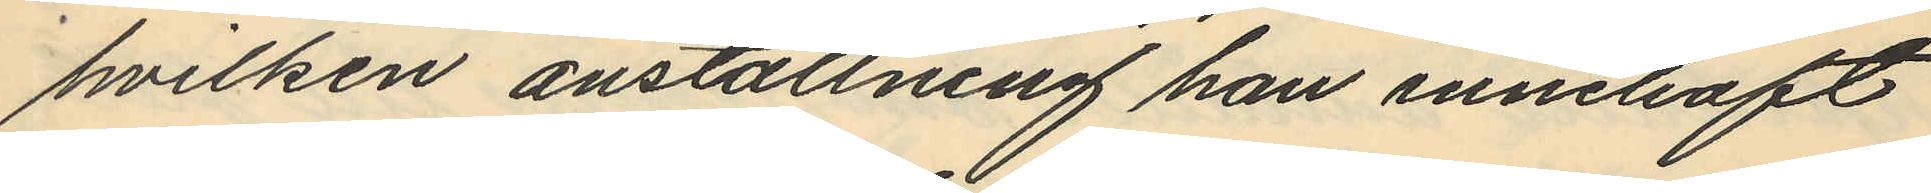hvilken anställning han innehaft
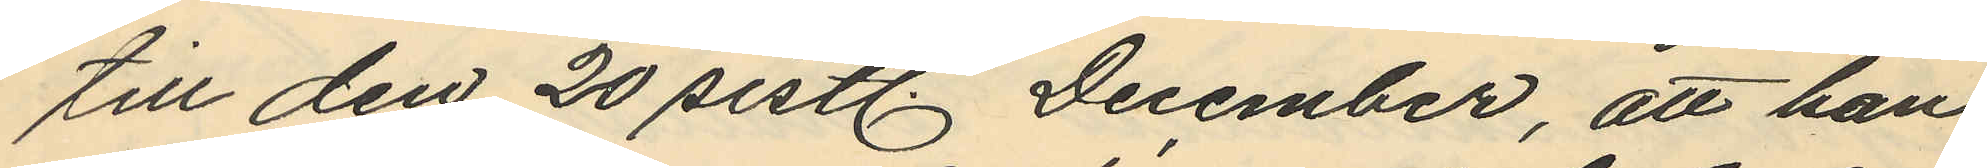till den 20 sistl December, att han
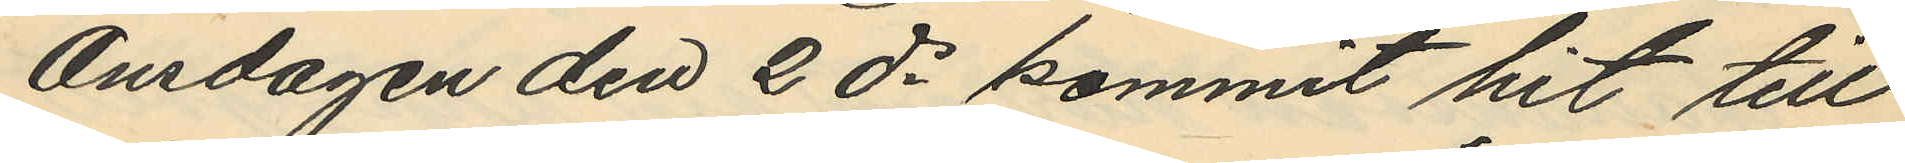Onsdagen den 2 ds kommit hit till
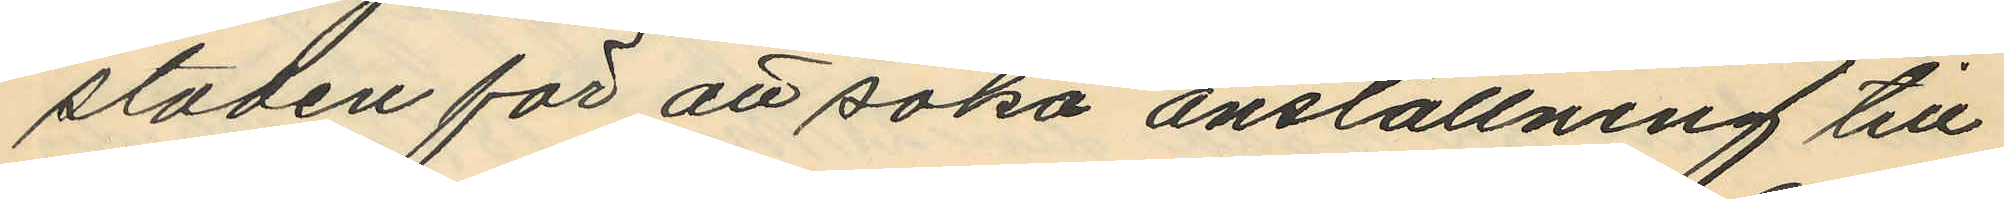staden för att söka anställning till
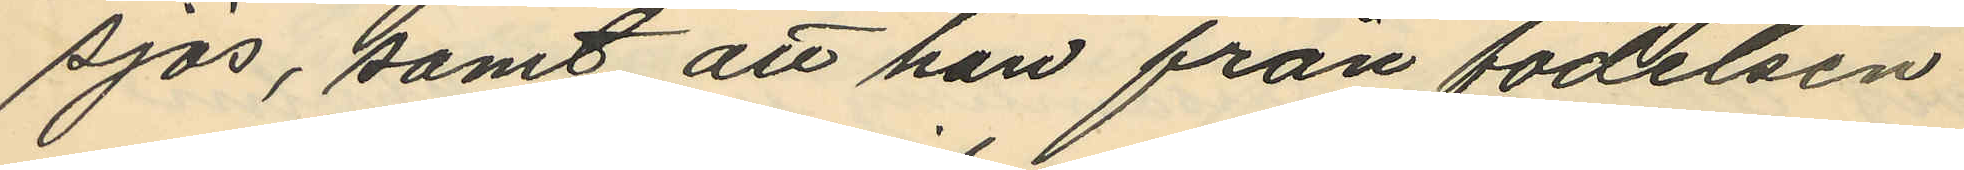sjös, samt att han från födelsen
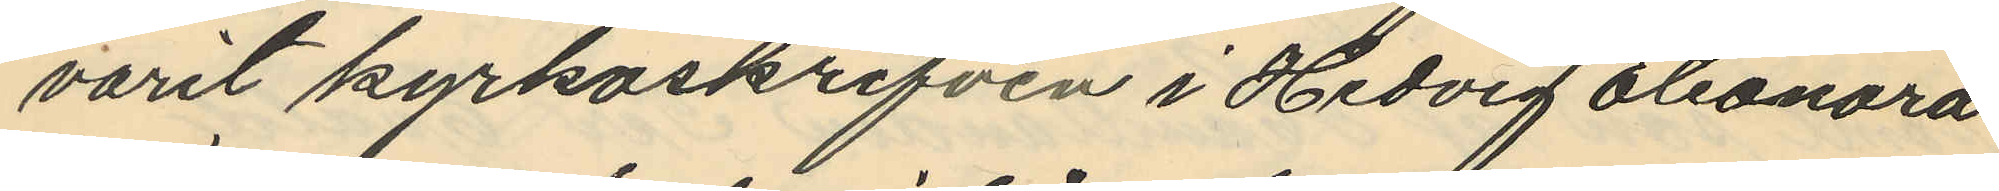varit kyrkoskrifven i Hedvig Eleonora
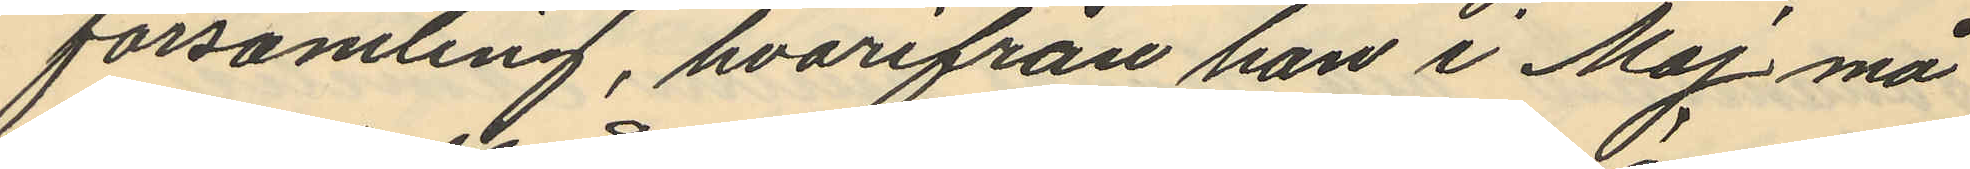församling, hvarifrån han i Maj må
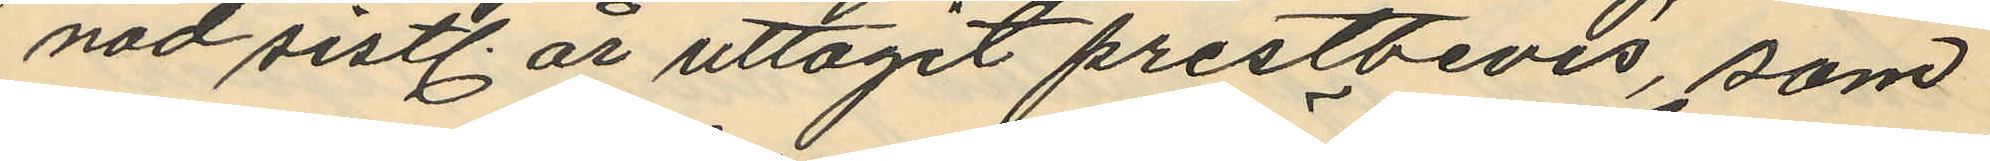nad sistl. år uttagit prestbevis, som
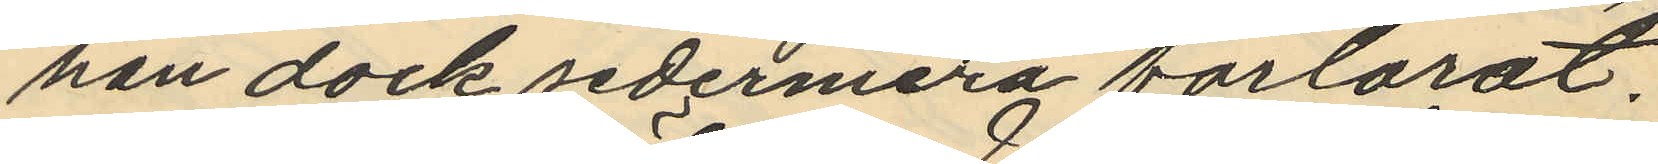han dock sedermera förlorat.
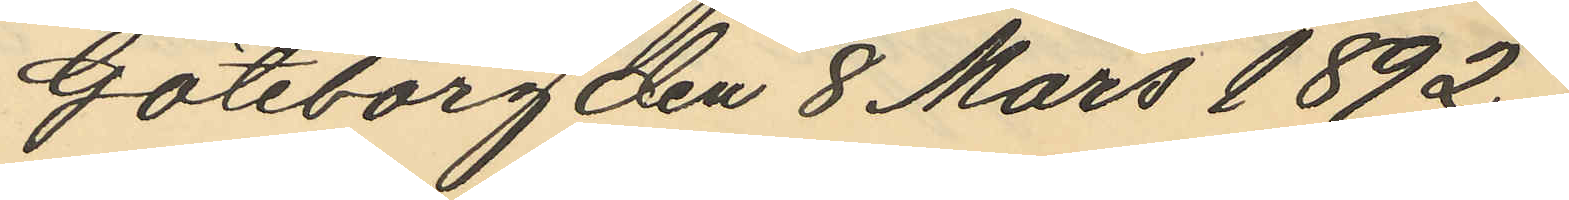Göteborg den 8 Mars 1892.
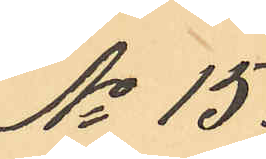No 15.
